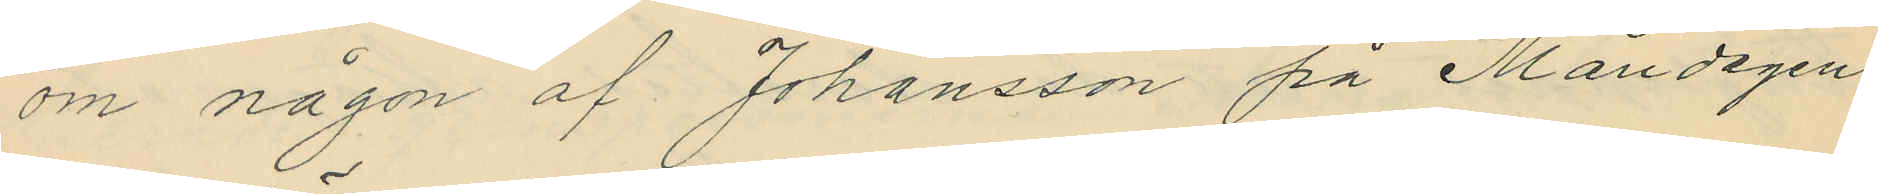om någon af Johansson på Måndagen
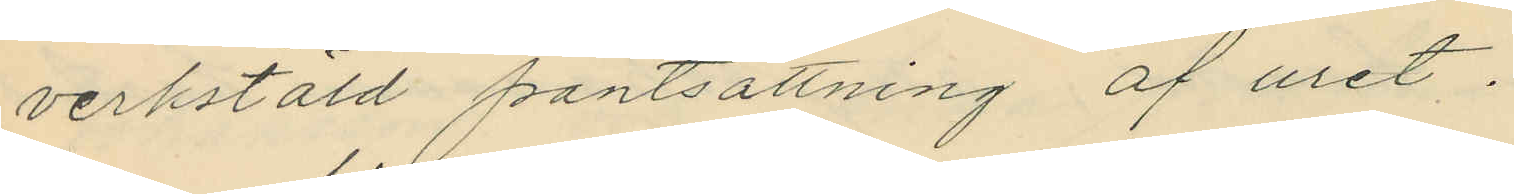verkstäld pantsättning af uret.
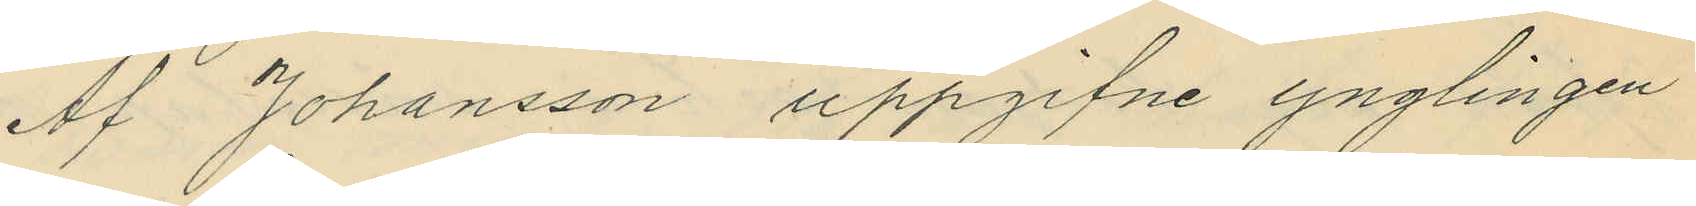Af Johansson uppgifne ynglingen
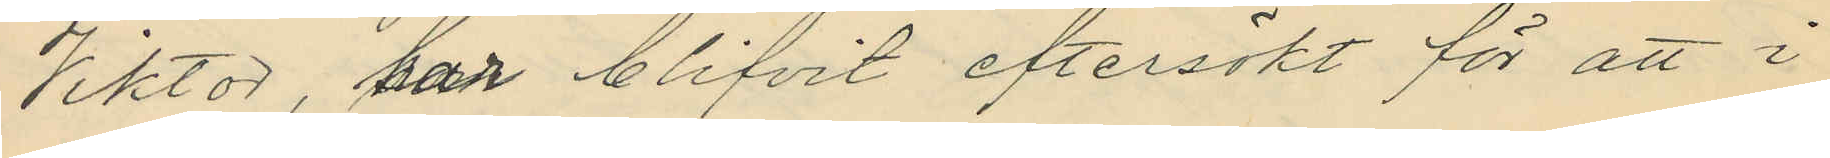Viktor, har blifvit eftersökt för att i
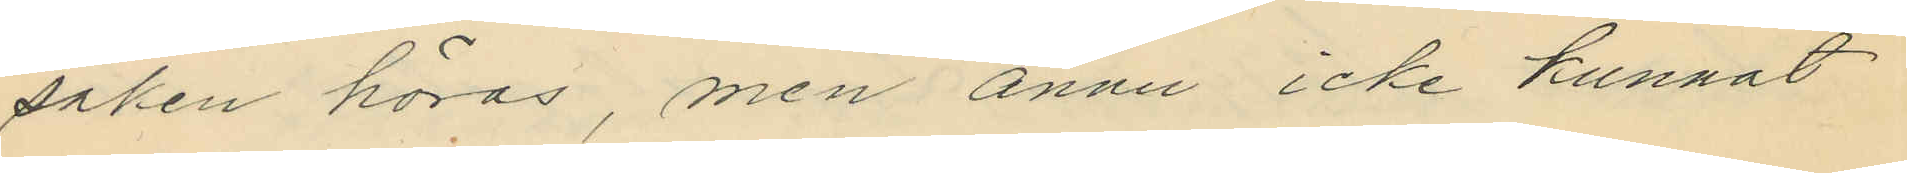saken höras, men ännu icke kunnat
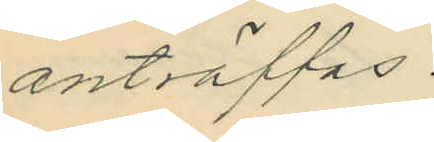anträffas.
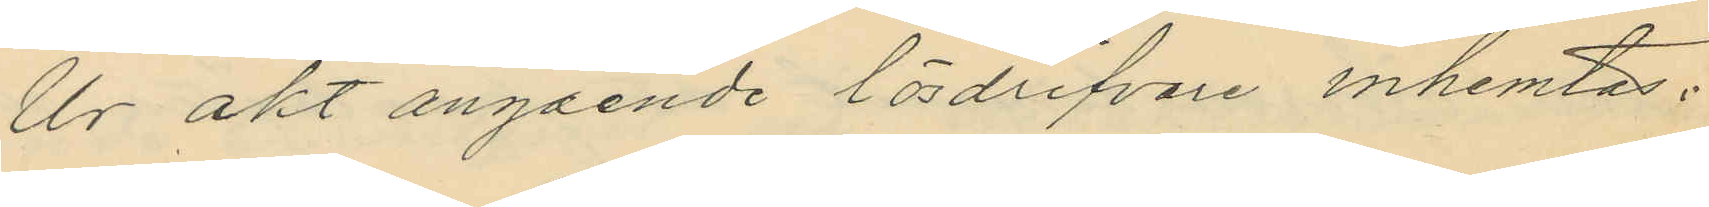Ur akt angående lösdrifvare inhemtas:
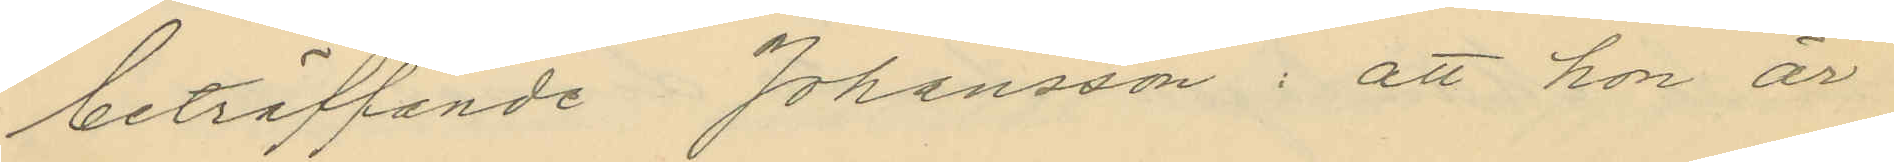beträffande Johansson, att hon är
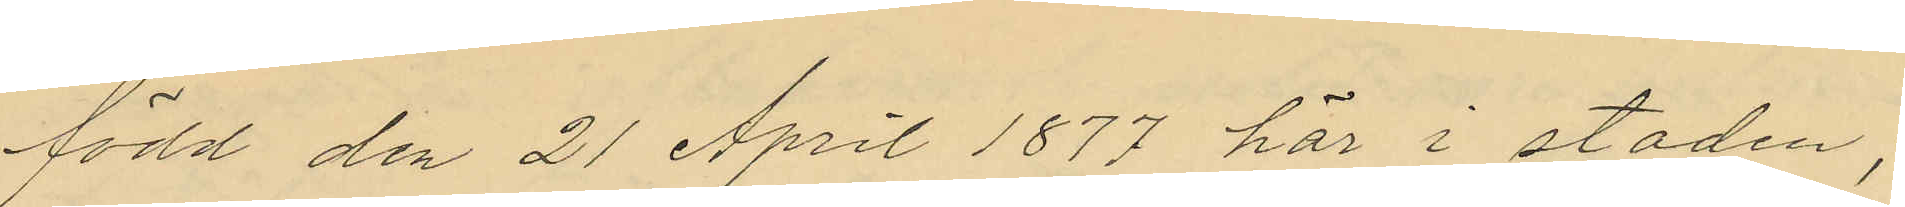född den 21 April 1877 här i staden;
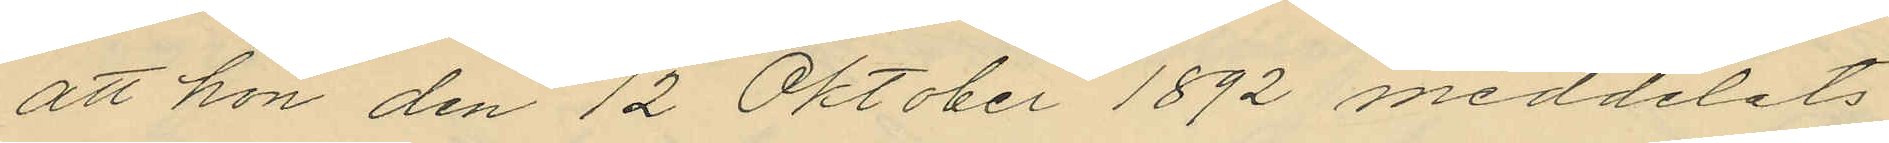att hon den 12 Oktober 1892 meddelats
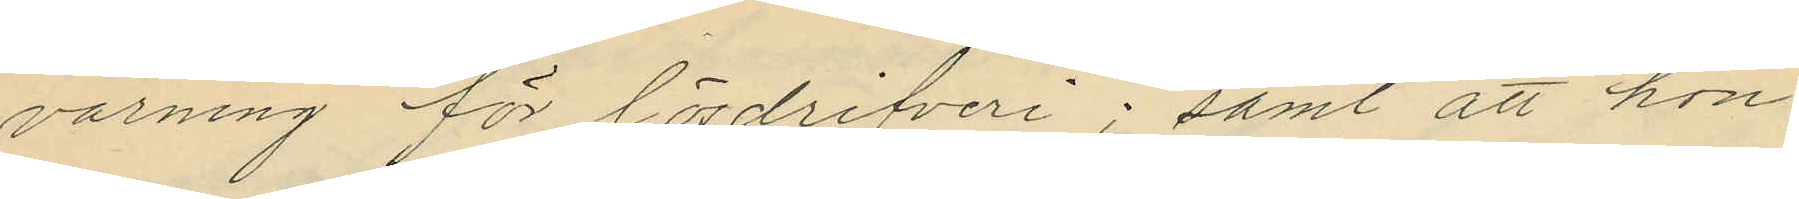varning för lösdrifveri; samt att hon
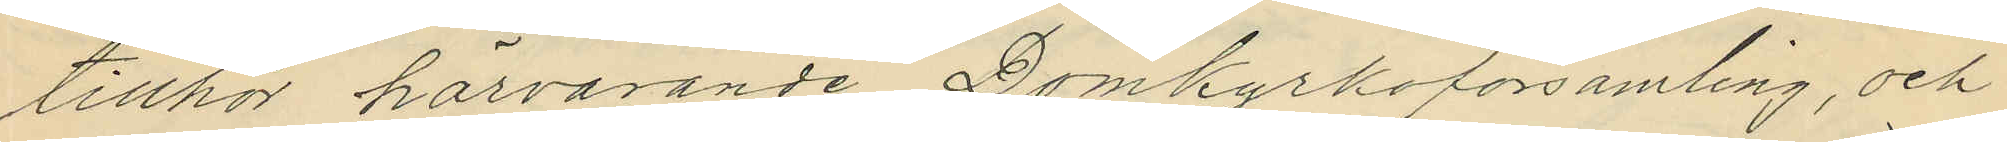tillhör härvarande Domkyrkoförsamling, och
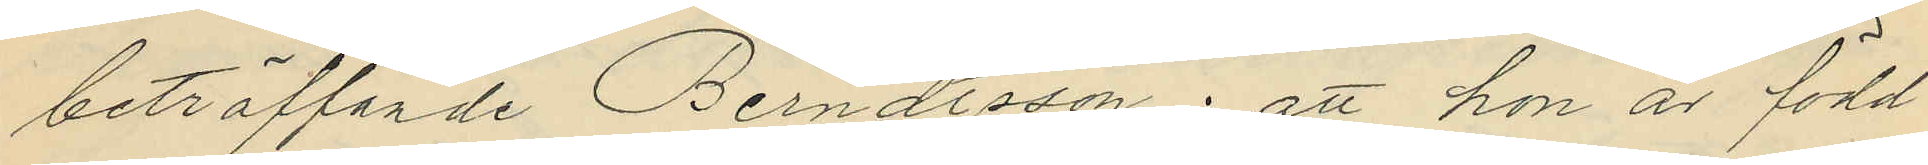beträffande Berndtsson; att hon är född
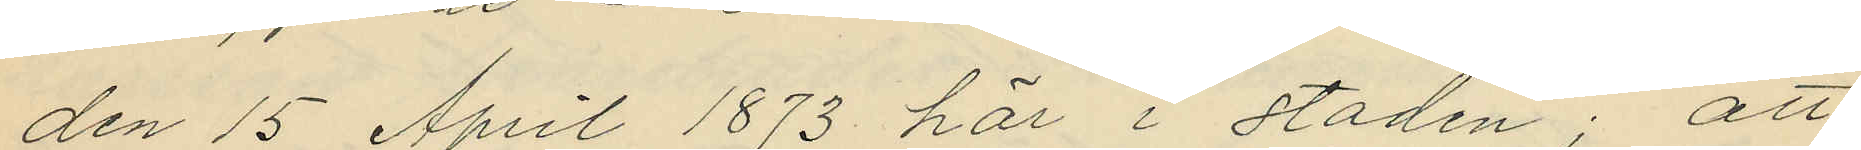den 15 April 1873 här i staden; att
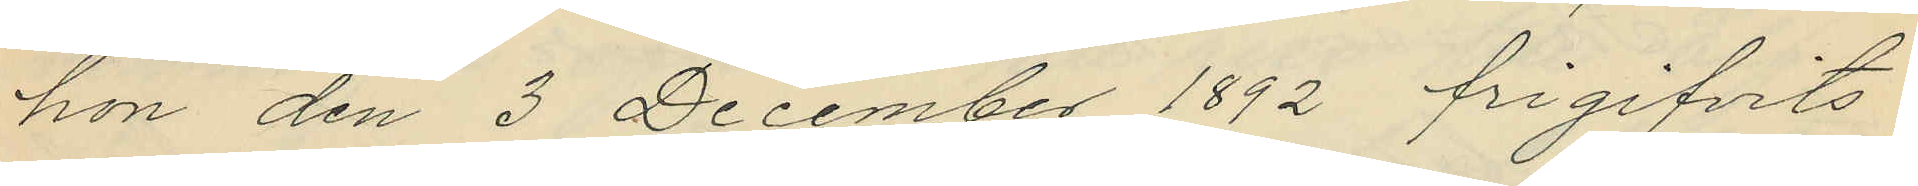hon den 3 December 1892 frigifvits
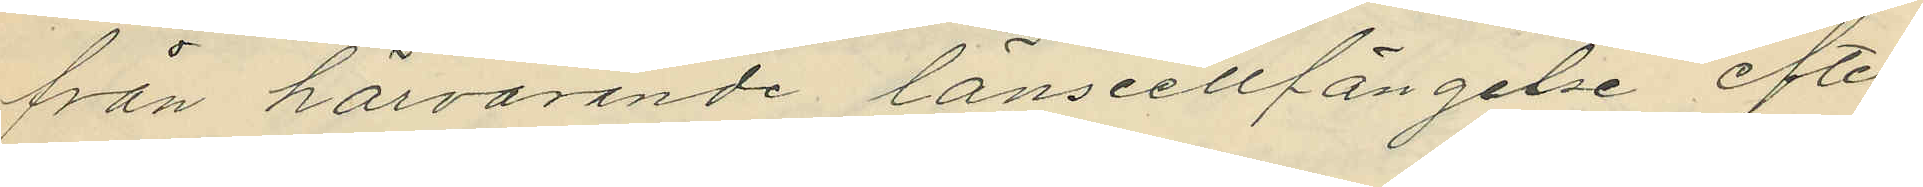från härvarande länscellfängelse efter
